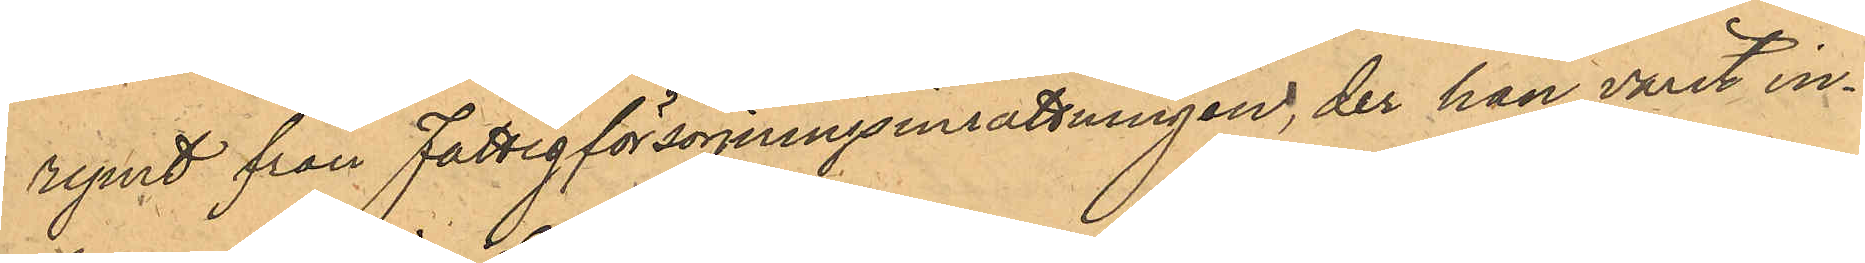rymt från Fattigförsörjningsinrättningen, der han varit in¬
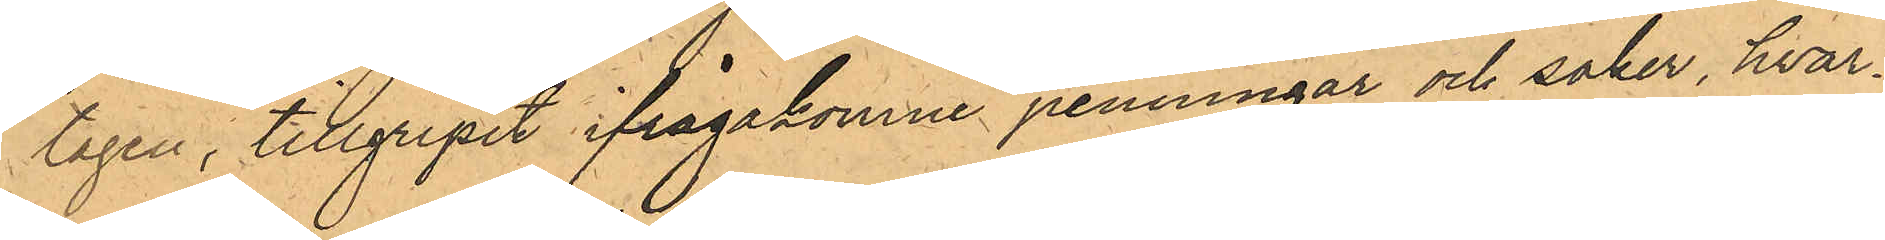tagen, tillgripit ifrågakomne penningar och saker, hvar¬
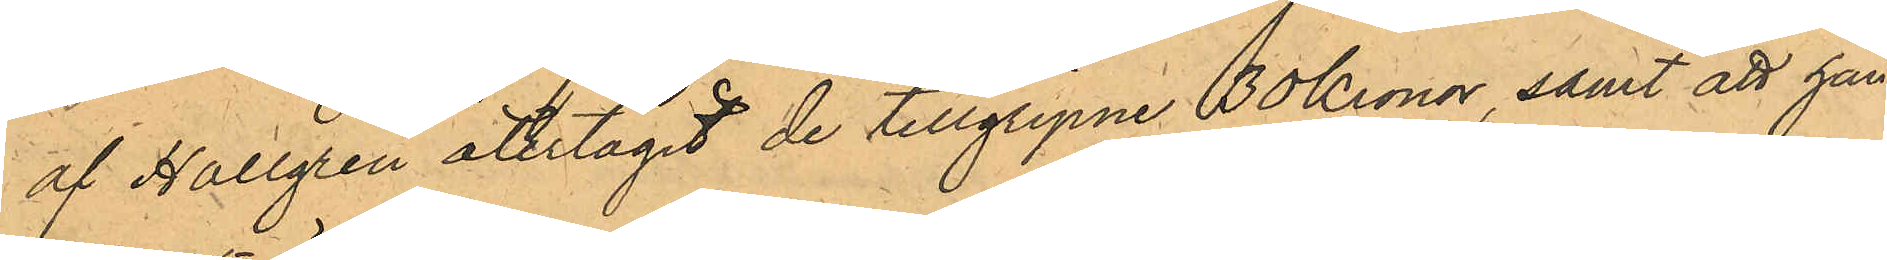af Hallgren återtagit de tillgripne 30 Kronor, samt att han
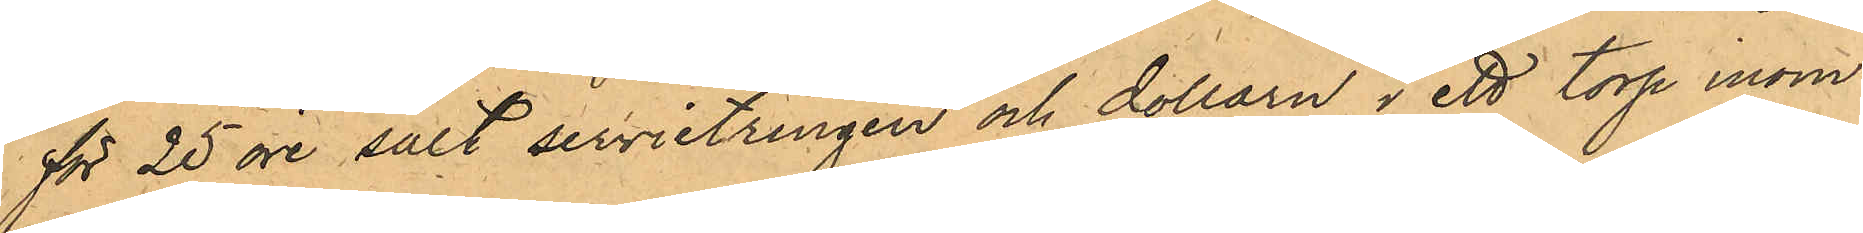för 25 öre sålt servietringen och dollarn i ett torp inom
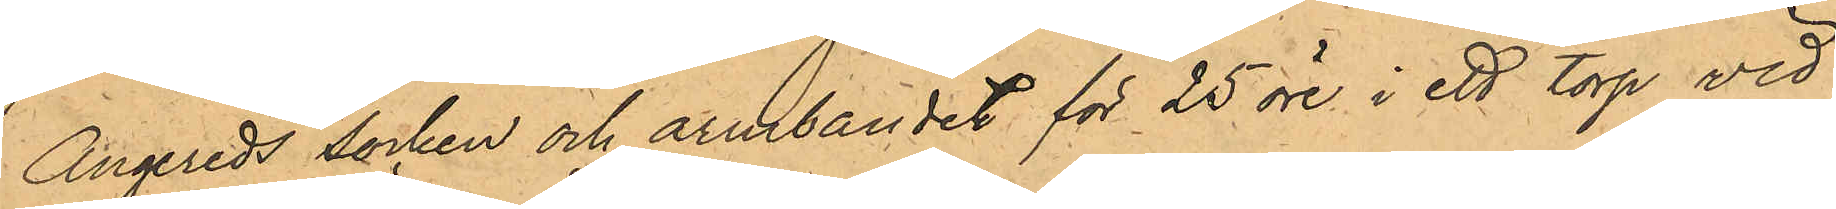Angereds socken och armbandet för 25 öre i ett torp vid
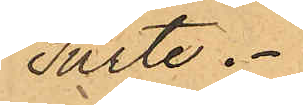Surte.
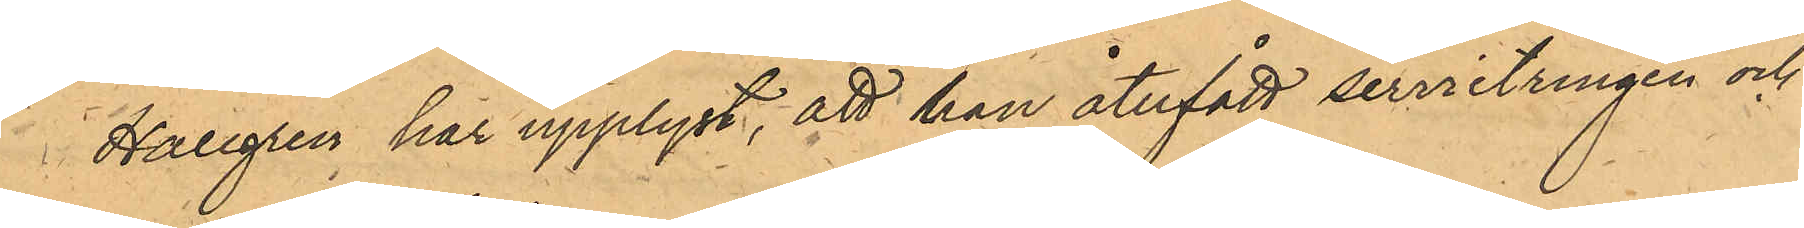Hallgren har upplyst, att han återfått servietringen och
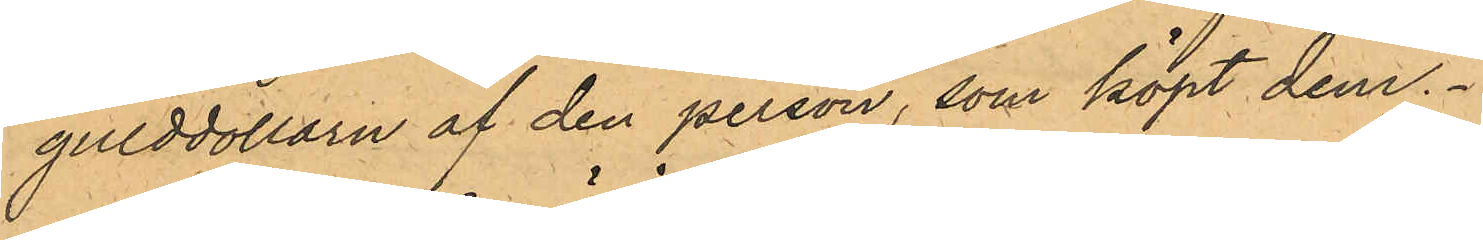gulddollarn af den person, som köpt dem.
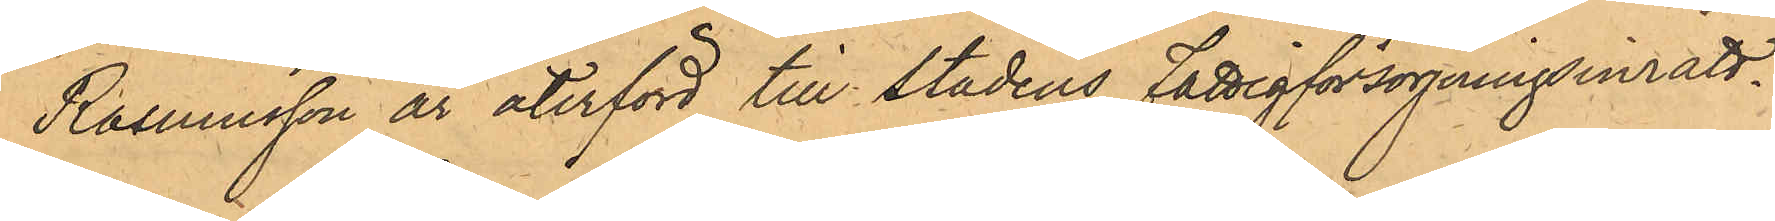Rasmusson är återförd till stadens Fattigförsörjningsinrätt¬
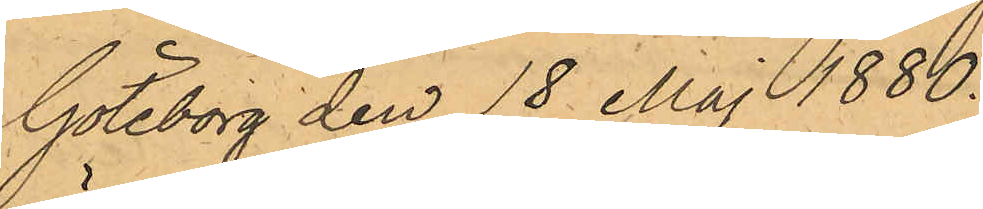ning.
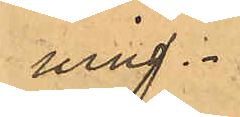Göteborg den 18 Maj 1880.
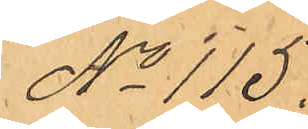No 115.
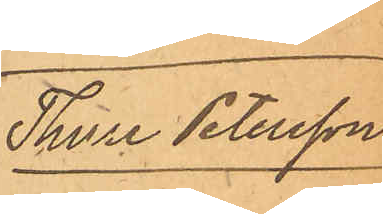Thure Petersson.
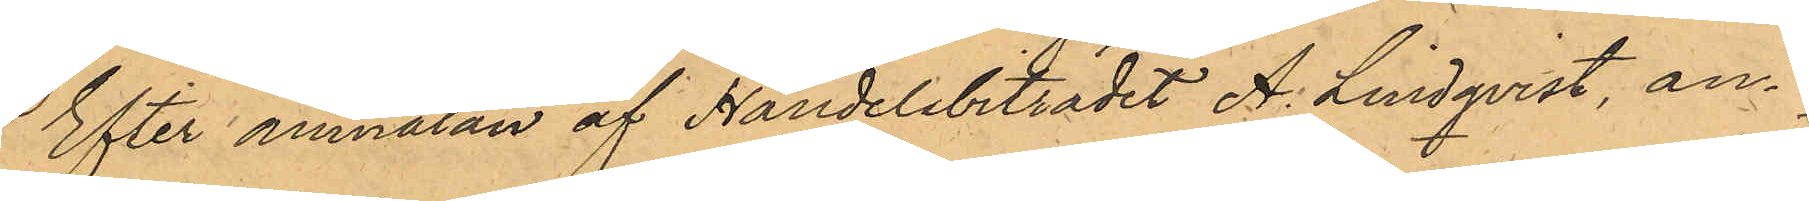Efter anmälan af Handelsbiträdet A. Lindqvist, an¬
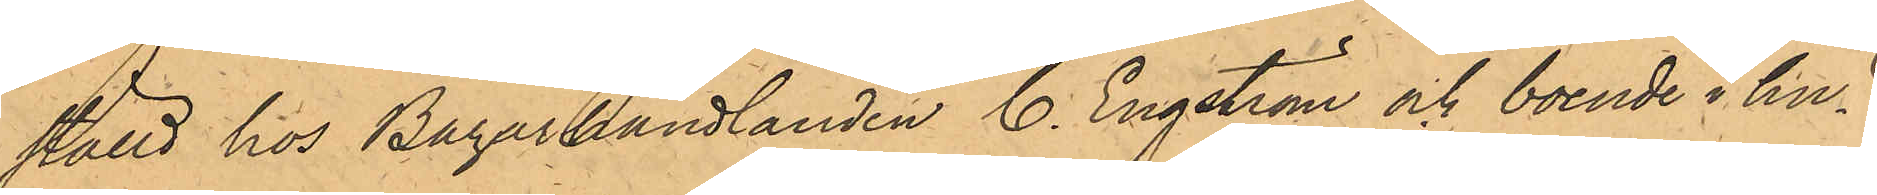ställd hos Bazarhandlanden C. Engström och boende i hu¬
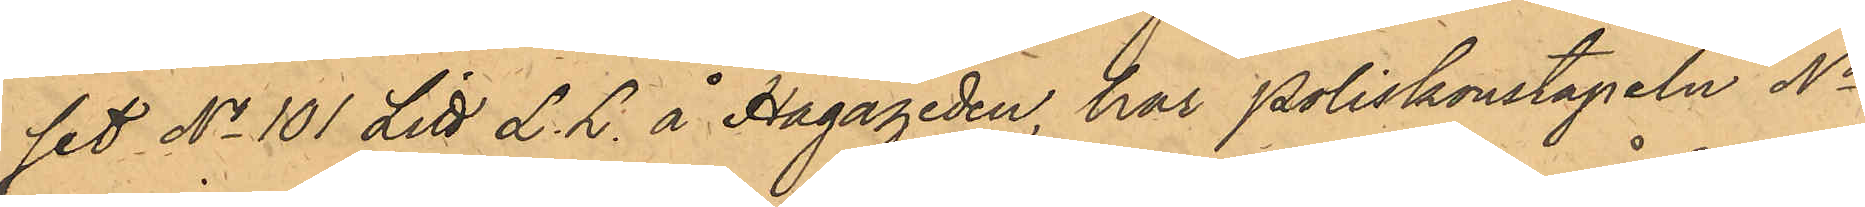set No 101 Litt L. L. å Hagaheden, har Poliskonstapeln No
